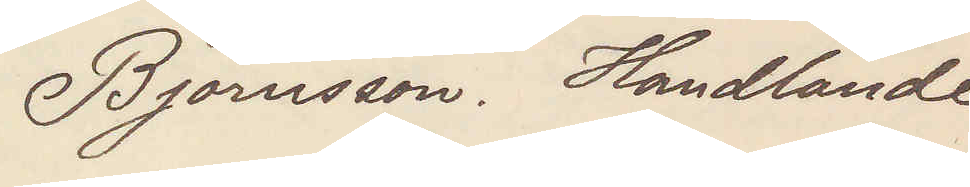Björnsson. Handlande
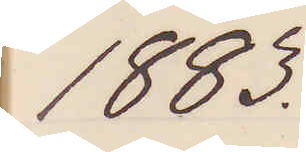1883.
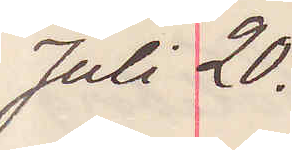Juli 20.
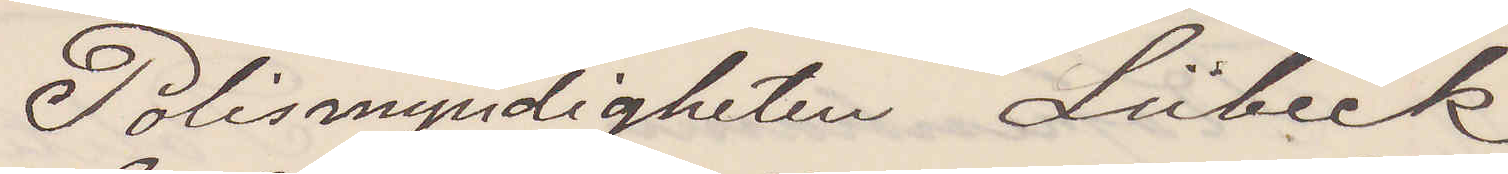Polismyndigheten Lübeck
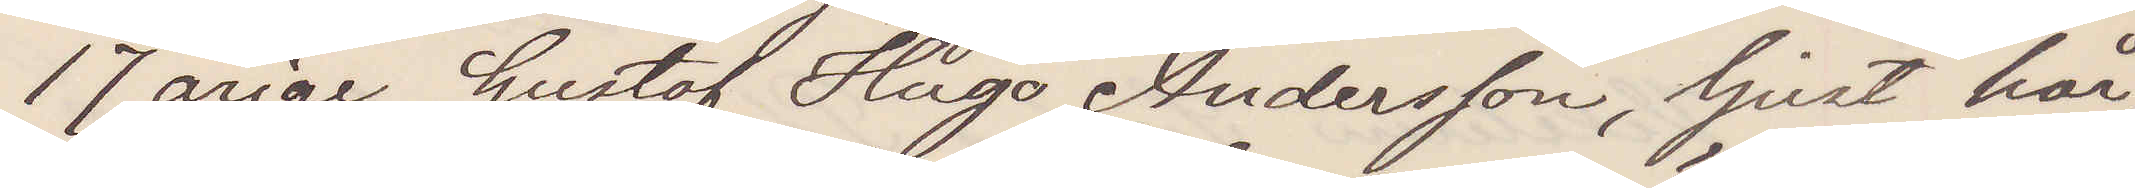17 årige Gustaf Hugo Andersson, ljust hår,
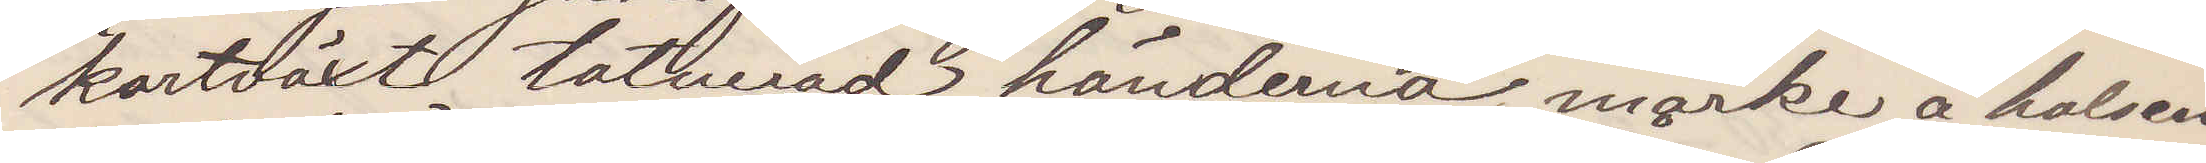kortväxt tatuerad händerna, märka å halsen,
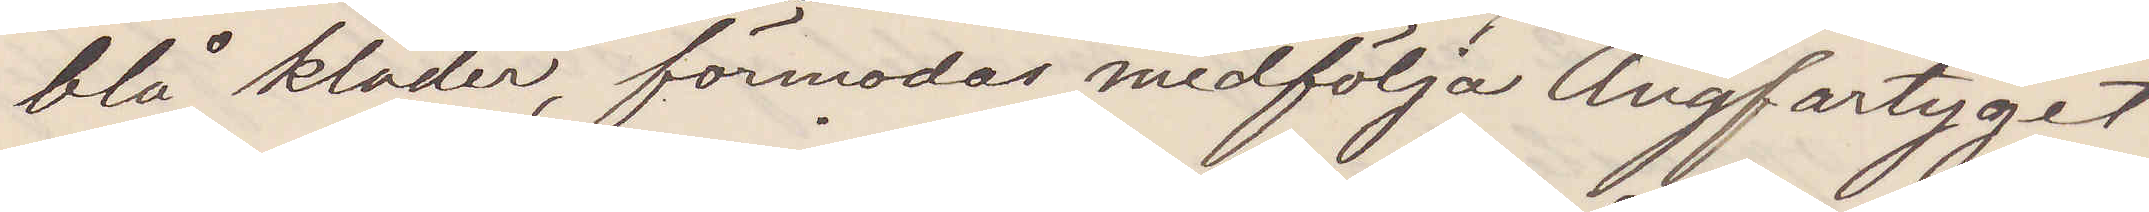blå kläder, förmodas medfölja Ångfartyget,
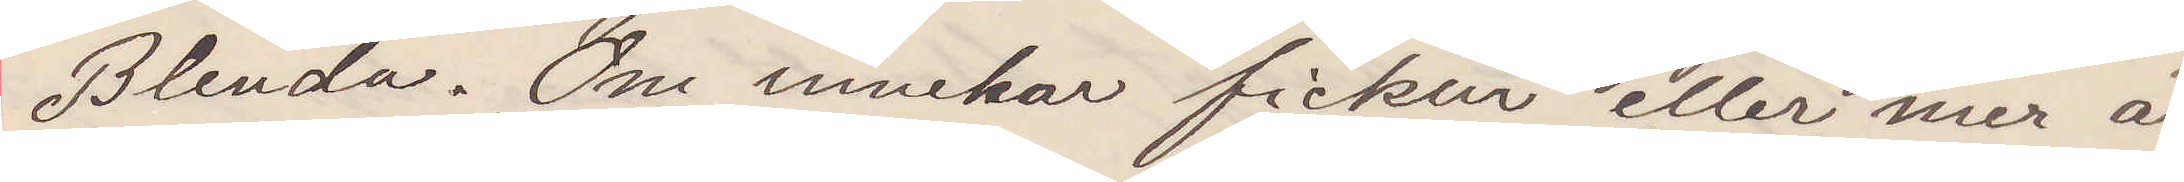Blenda. Om innehar fickur eller mer än
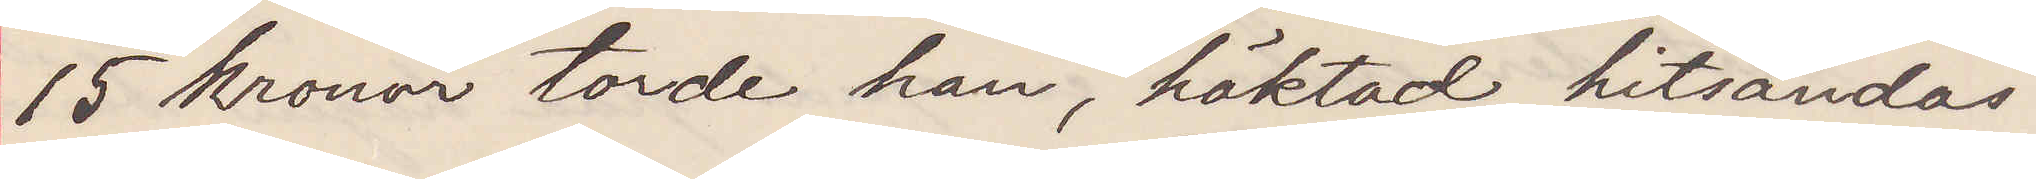15 kronor torde han, häktad hitsändas.
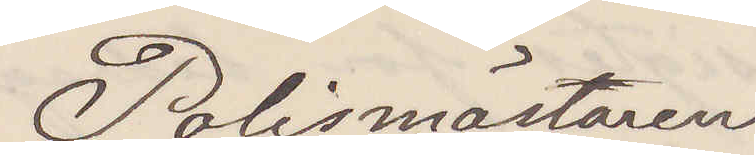Polismästaren
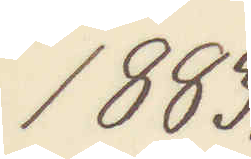1883.
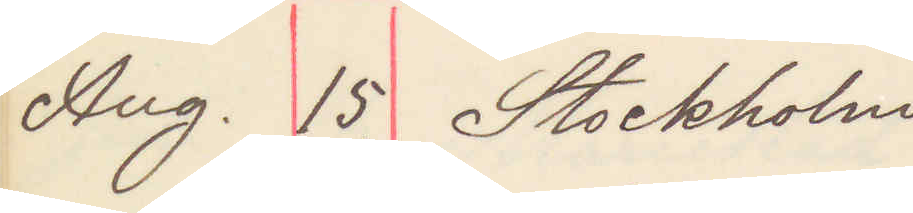Aug. 15. Stockholm
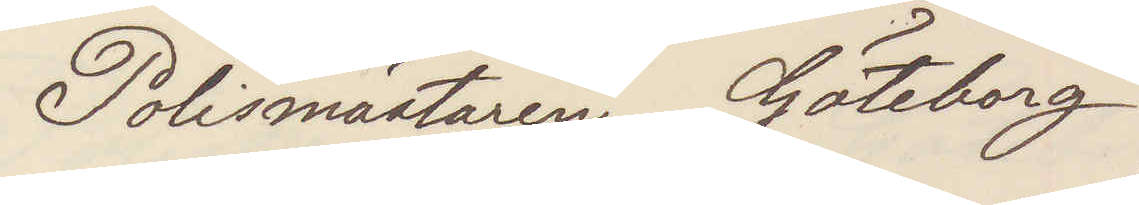Polismästaren Göteborg
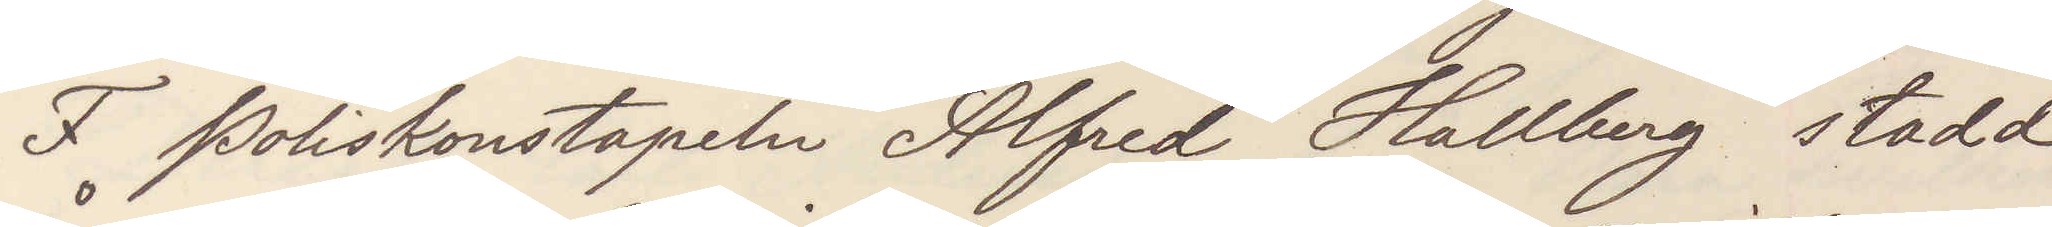F Poliskonstapeln Alfred Hallberg stadd
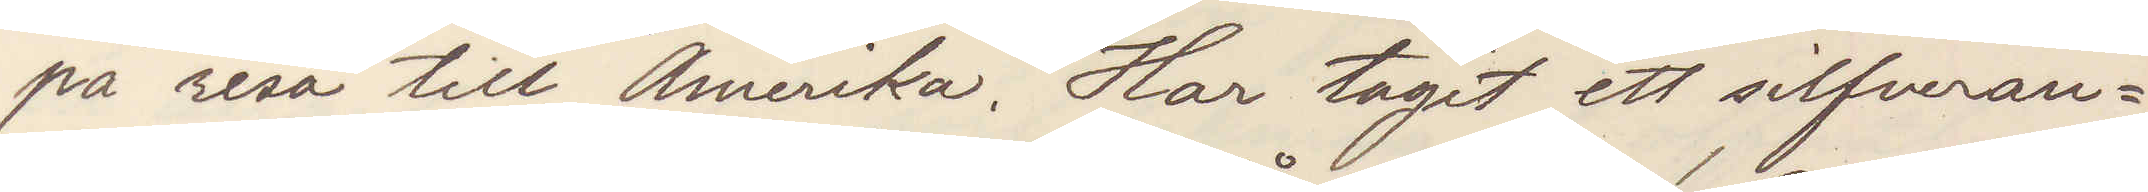på resa till Amerika. Har tagit ett silfveran¬
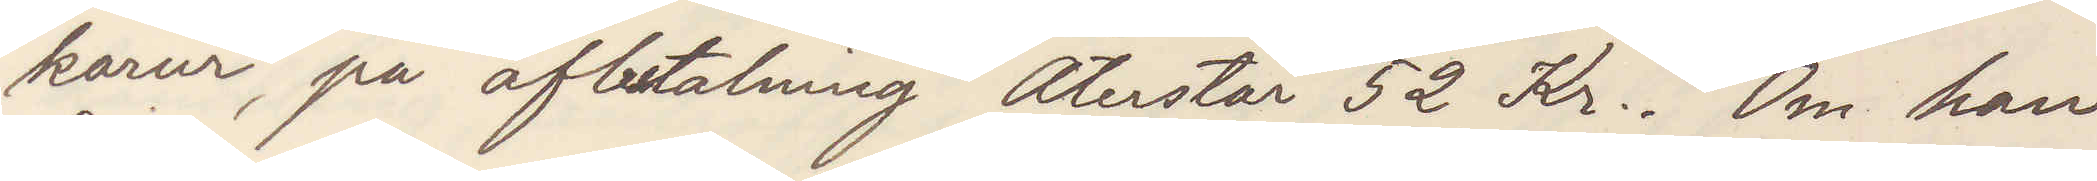karur, på afbetalning Återstår 52 Kr. Om han
